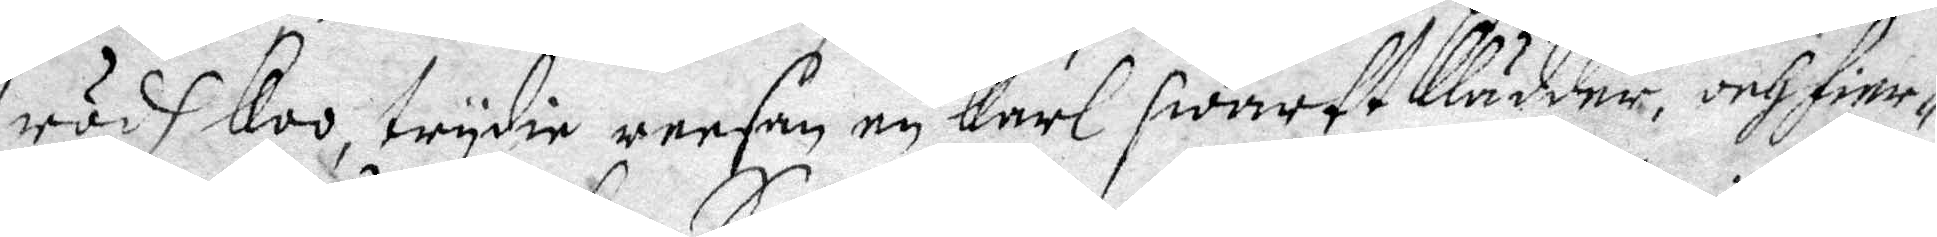rödh koo, trydie reesan en karl swart klädder, och fier¬
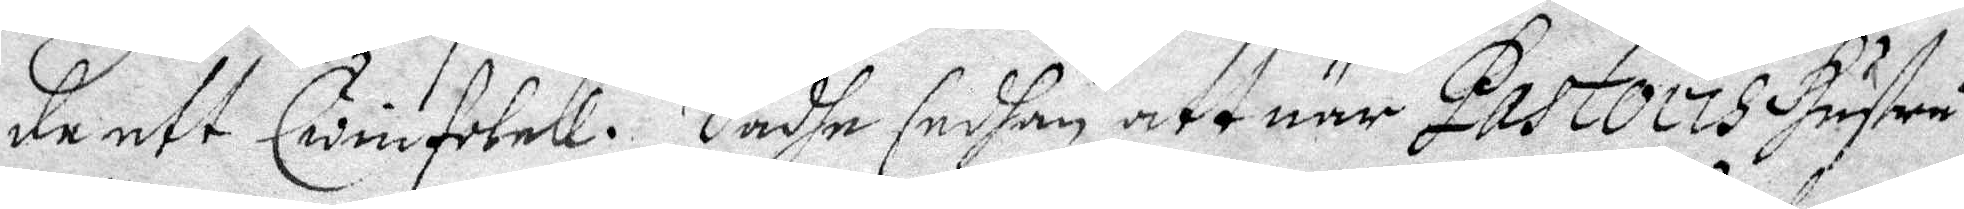de ett Qwinfolck. Sadhe sedhan att när Pastoris Hustru
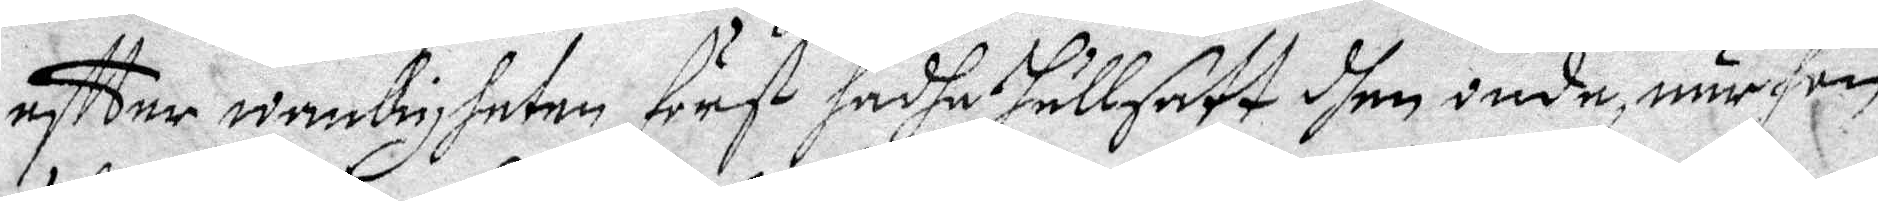eftter wanligheten först hadhe hällsatt dhen onde, när hon
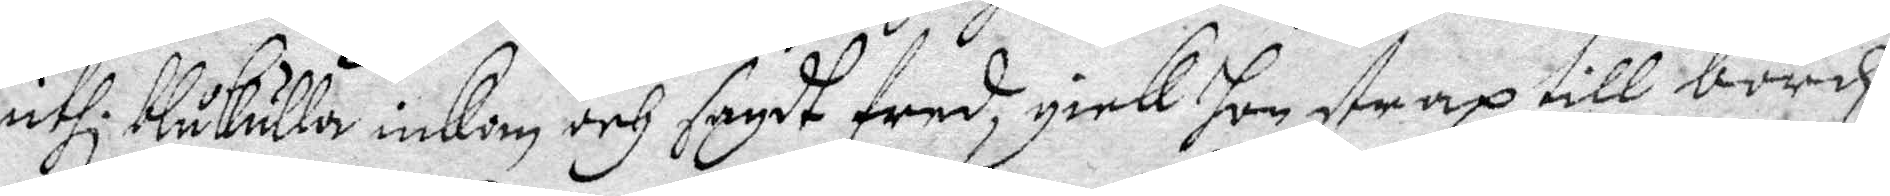uthi blåkulla inkom och sagdt fred gick hon strax till bordz,
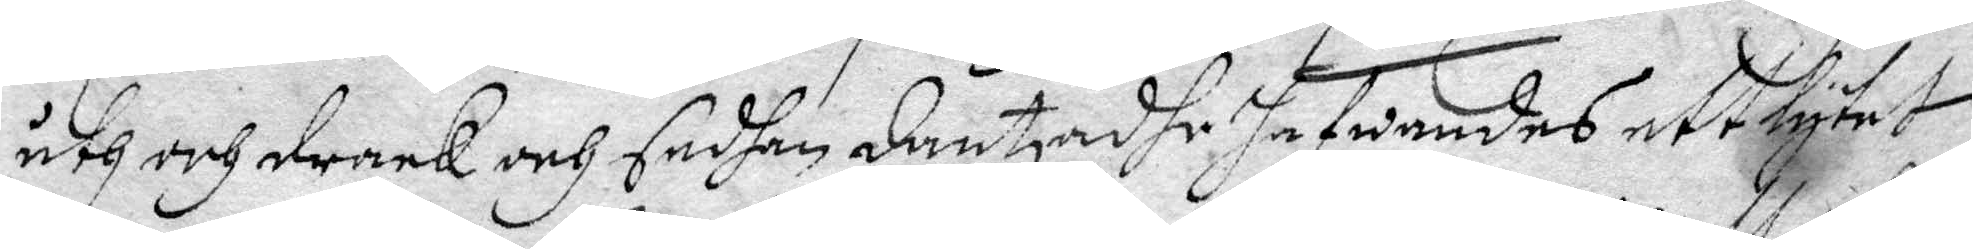åth och drack och sedhan dantzadhe hafwandes ett lytet.
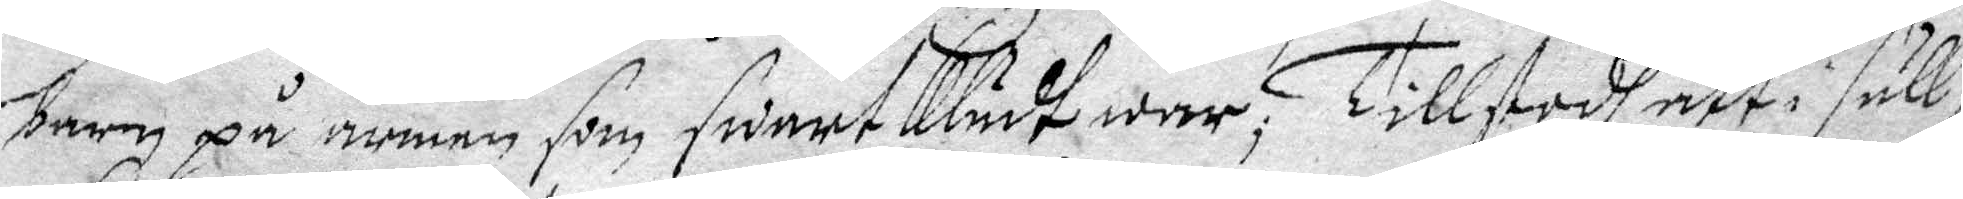barn på armen som swart klädt war, Tillstodh att i säll¬
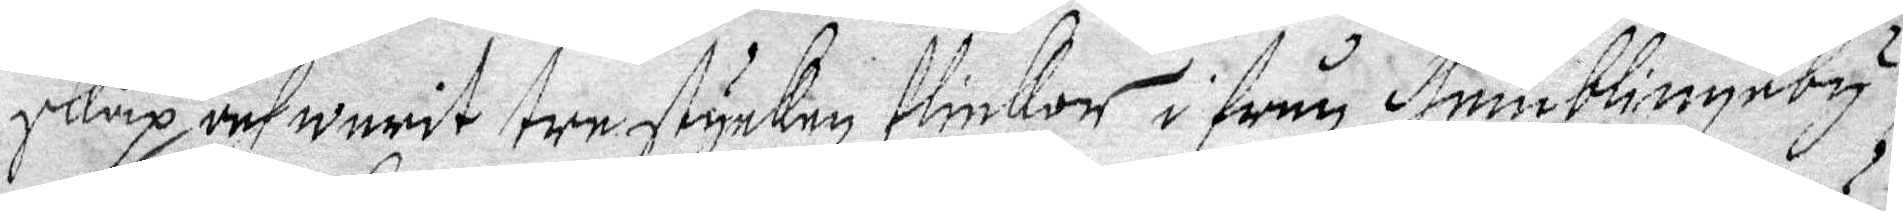skap och warit tre stycken flickor ifrån Humblingeby,
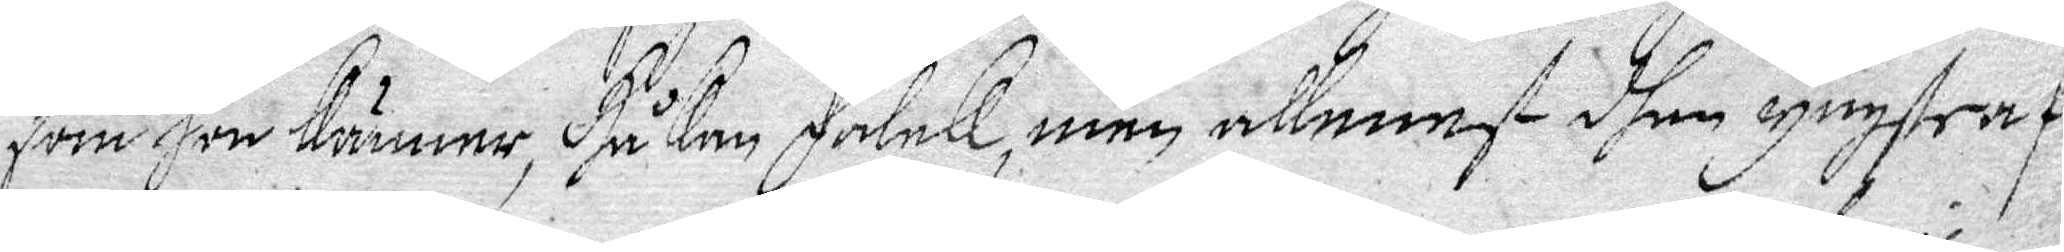som hon känner, Håkan Falck, men allenast dhen yngste af
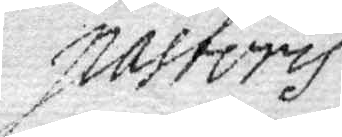Pastoris
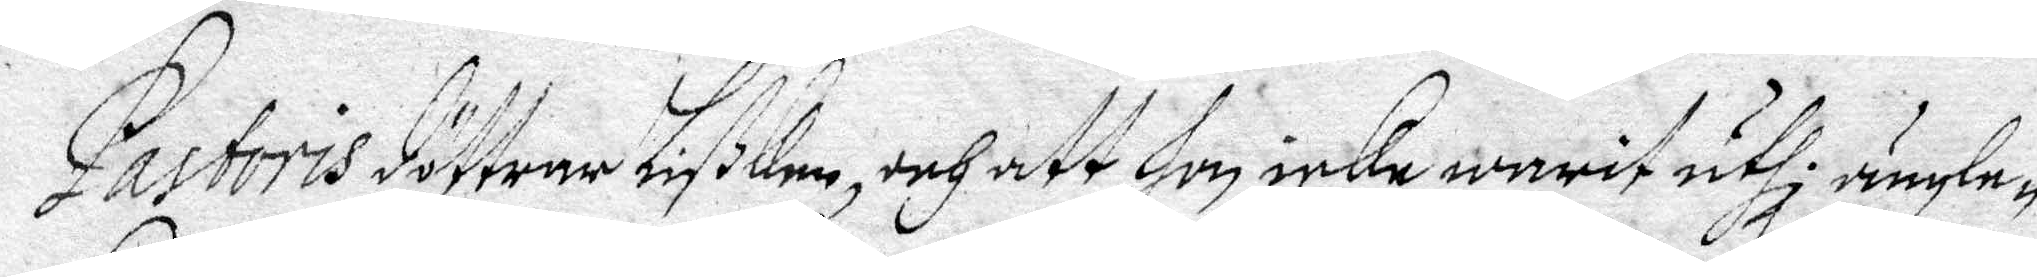Pastoris döttrar Lißken, och att hon icke warit uthi ängle¬
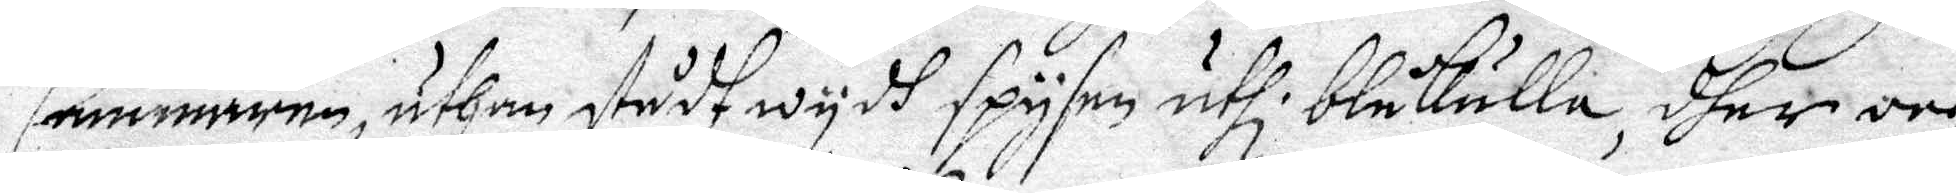Cammaren, uthan stådh wydh spysen uthi blåkulla, dher och
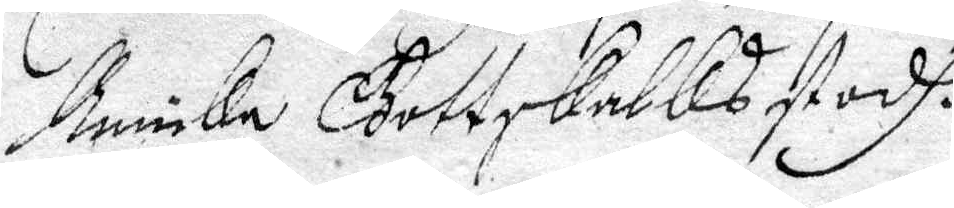Annika Gottskalks stodh.
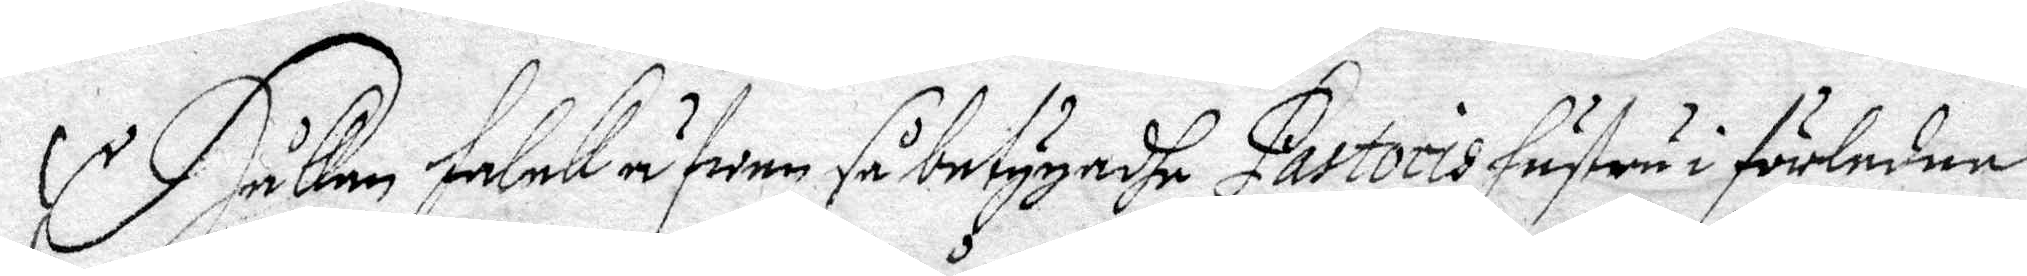Håkan Falck äfwen så betygadhe Pastoris hustru i förledne
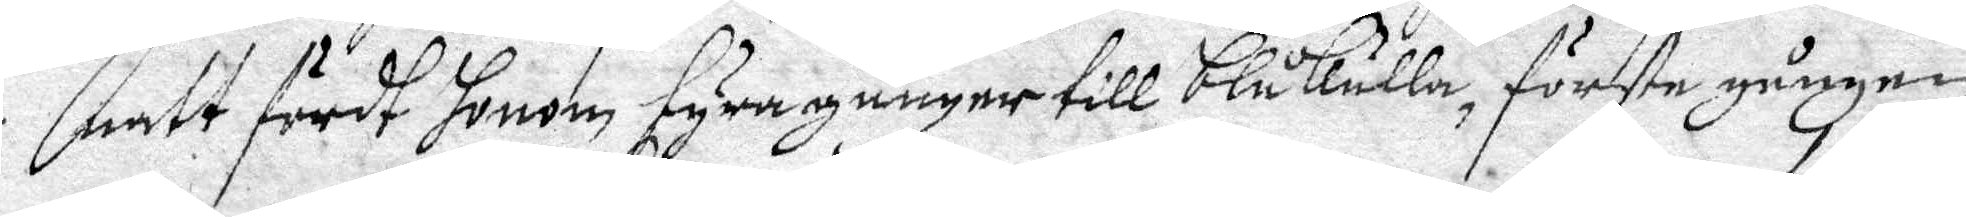natt fördt honom fyra gånger till blåkulla, förste gången
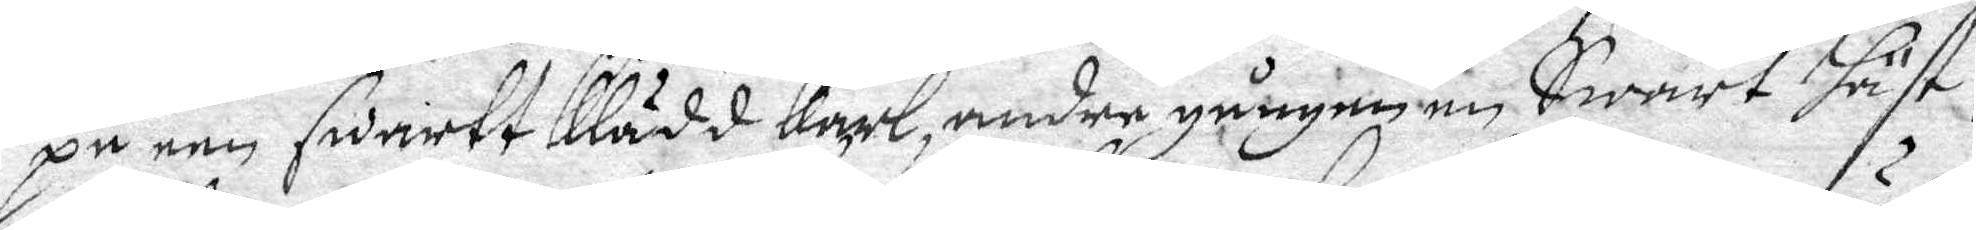på een swart Klädd Karl, andra gången en Swart Häst, 
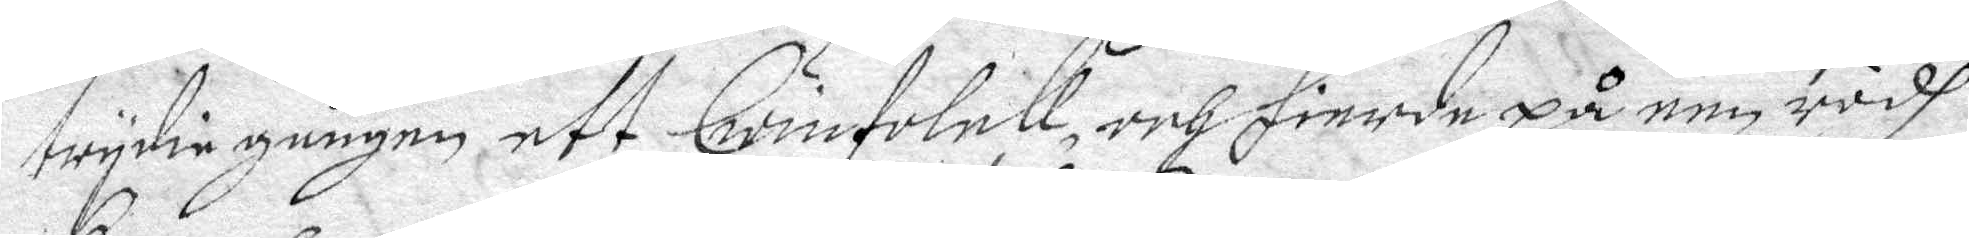trydie gången ett Qwinfolck och fierde på een rödh
